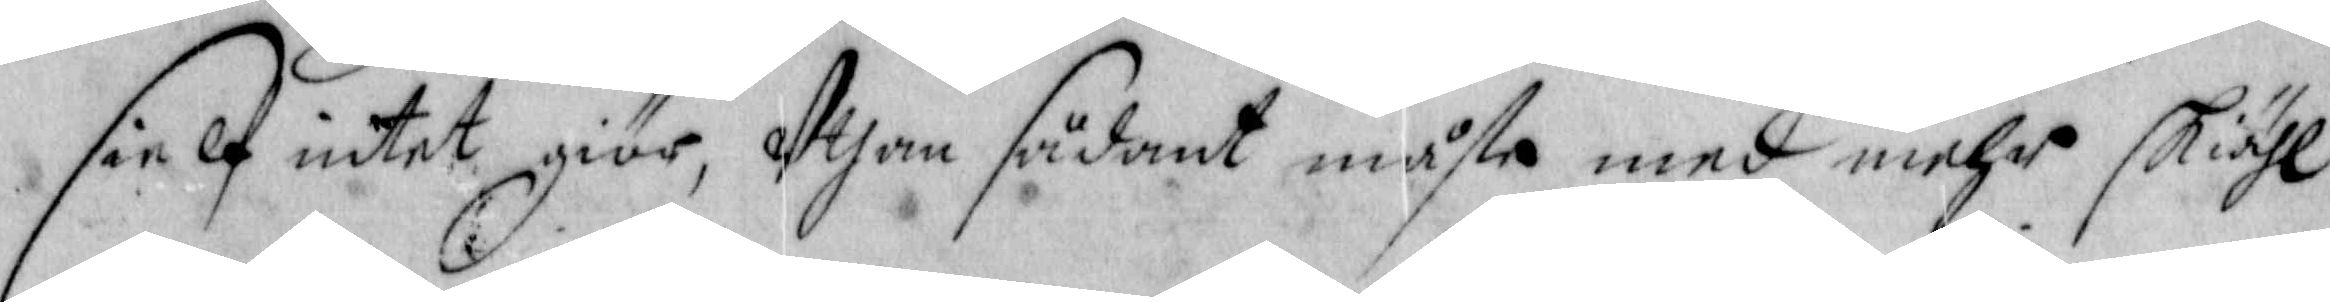sielf intet giör, Uthan sådant måste med mehr skiähl
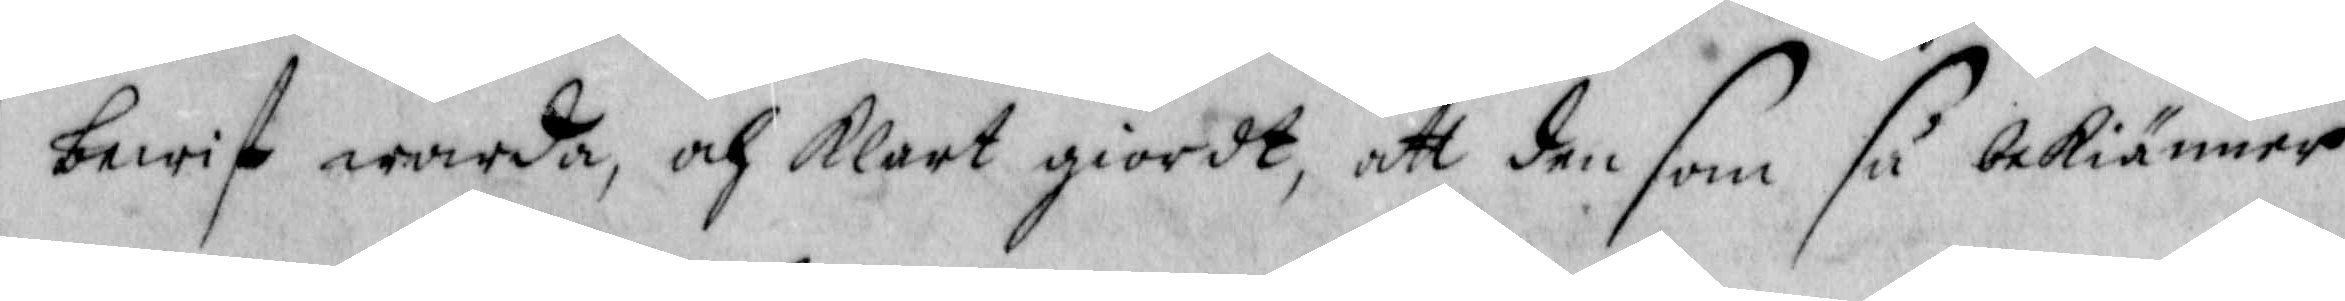bewist warda, och klart giordt, att den som så bekiänner
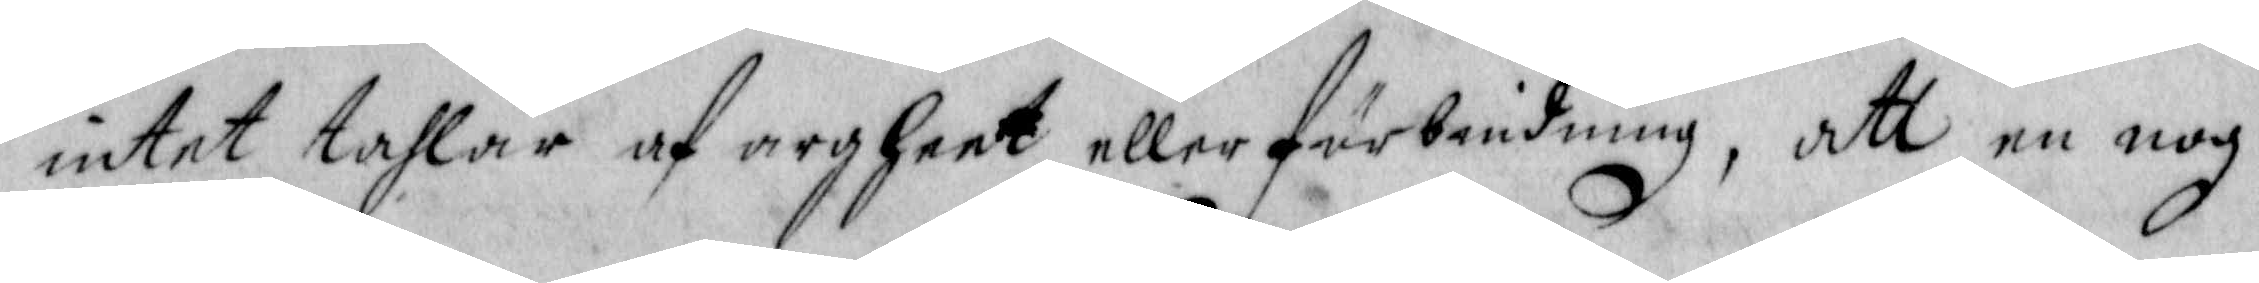intet tahlar af argheet eller förbiudning, att en nog
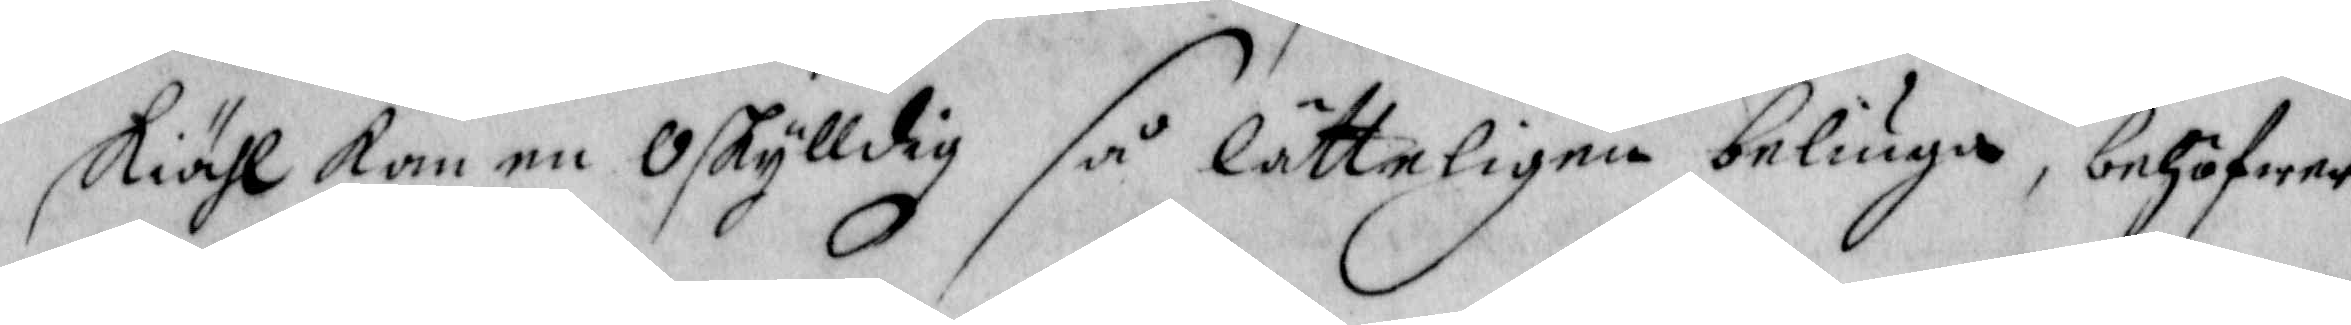skiähl kan en Oskylldig så Lätteligen beliuga, behöfwer
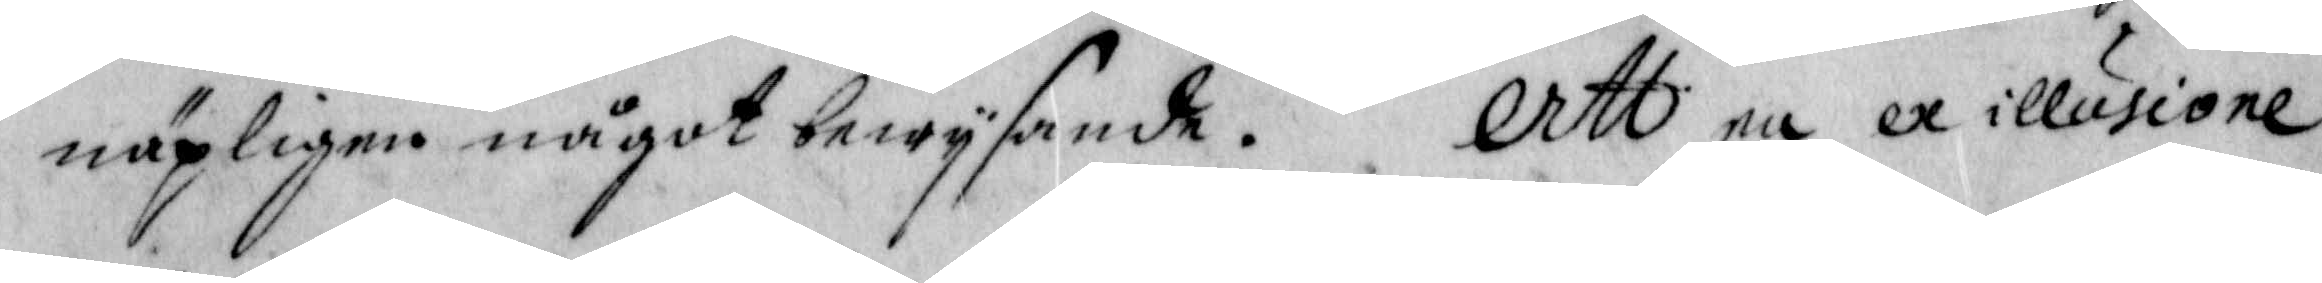näpeligen något bewysande. Att en ex illusione
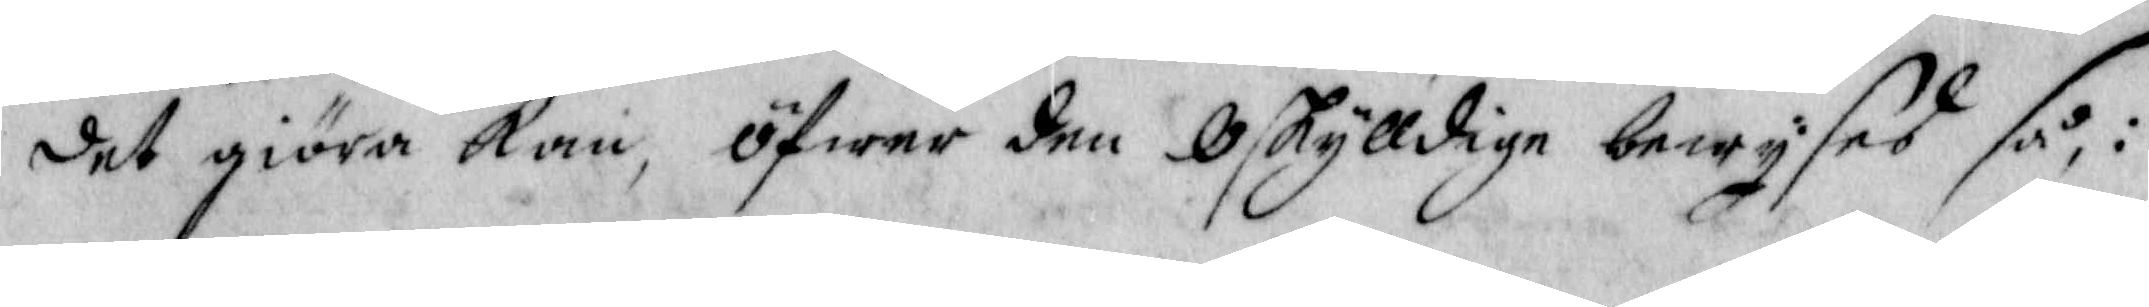det giöra kan, öfwer den Oskylldige bewyses så, :
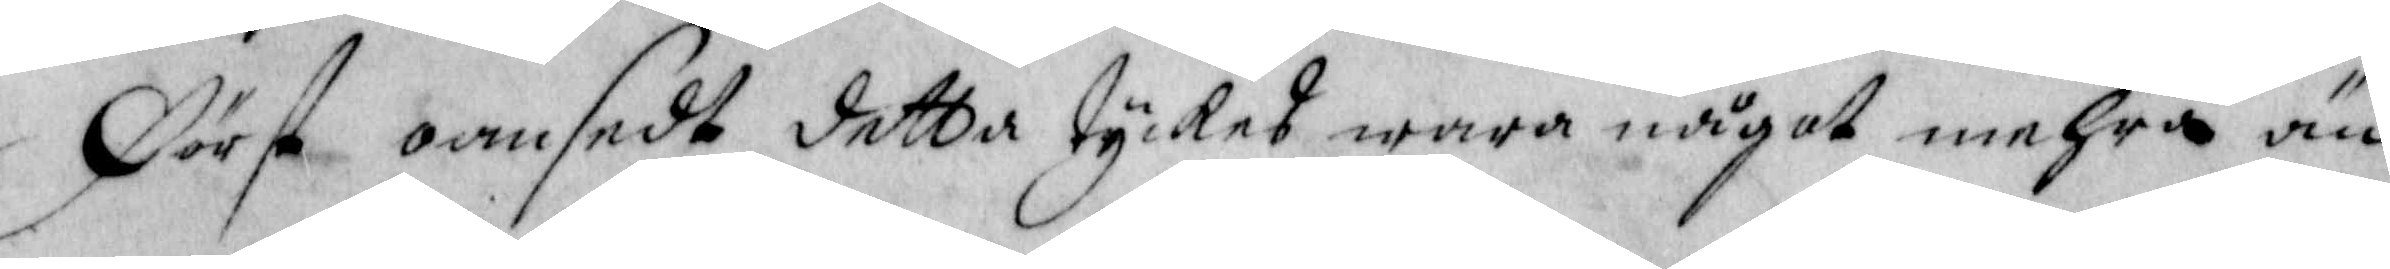Först oansedt detta tyckes wara något mehra än
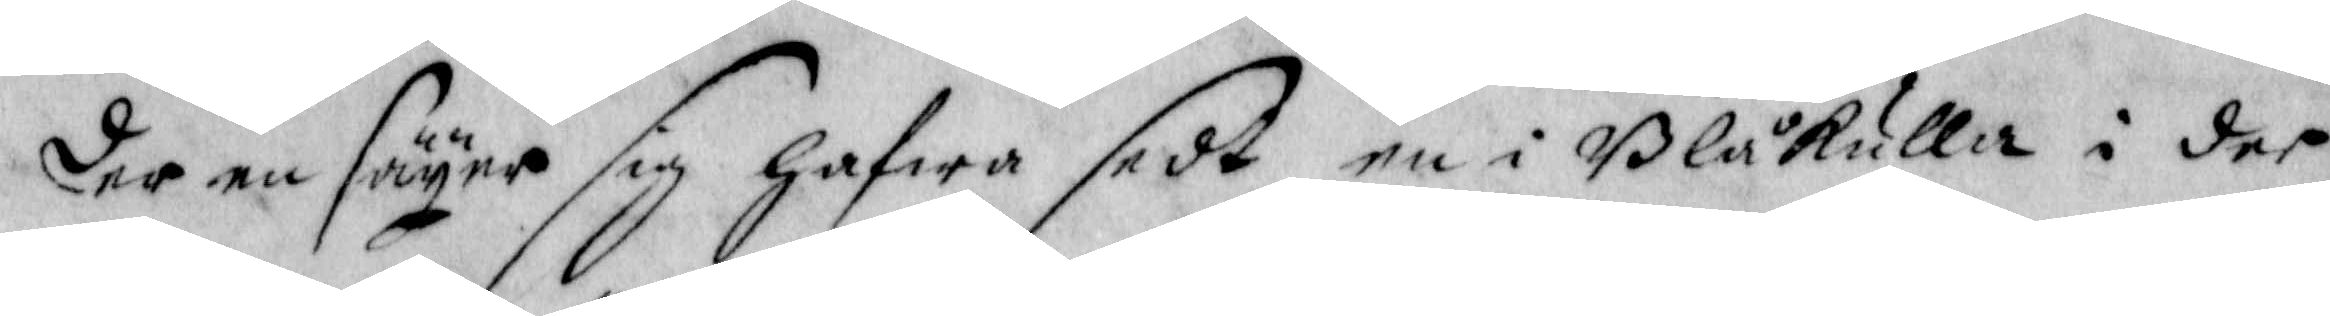der en säyer sig hafwa sedt en i Blåkulla i der
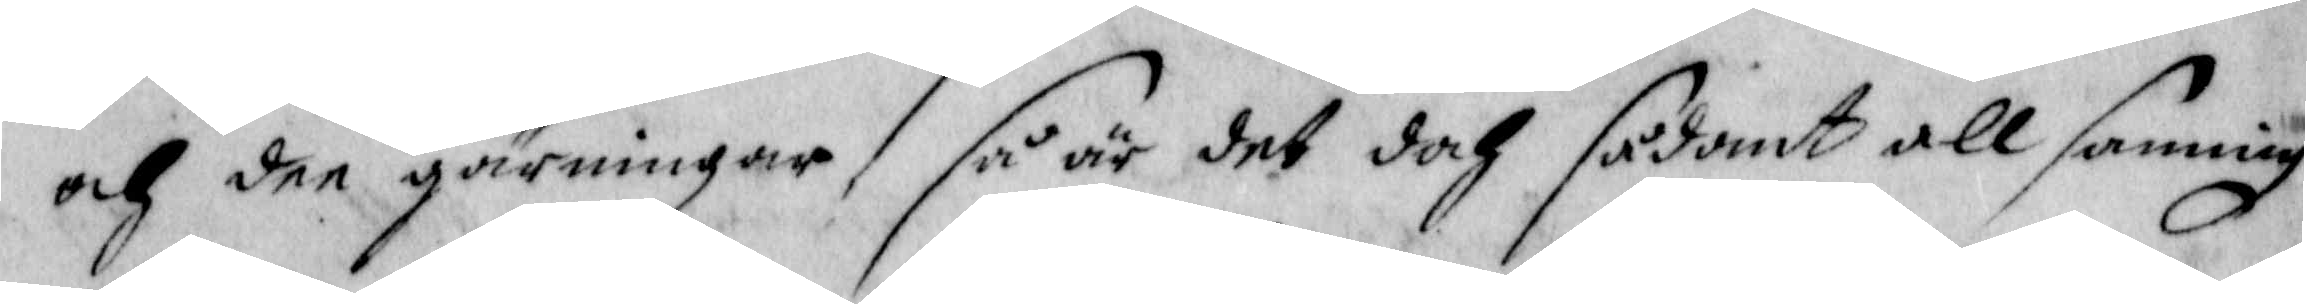och dee giärningar så är det doch sådant all sanning
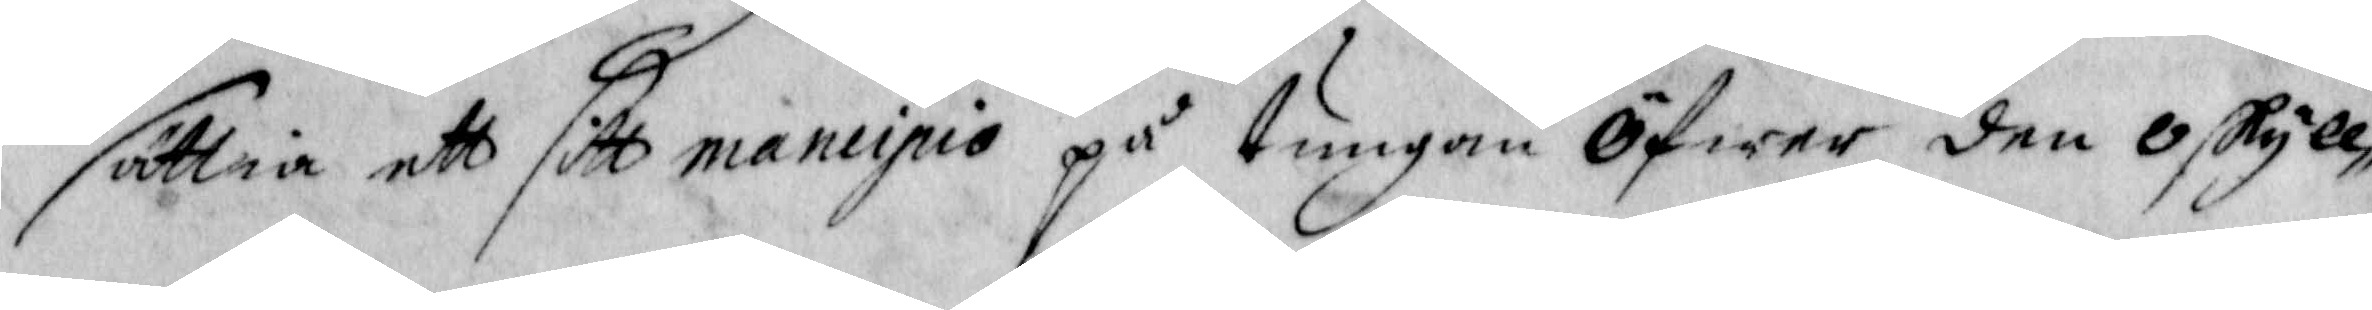sättia ett sitt mancipio på tungan Öfwer den Oskyll¬
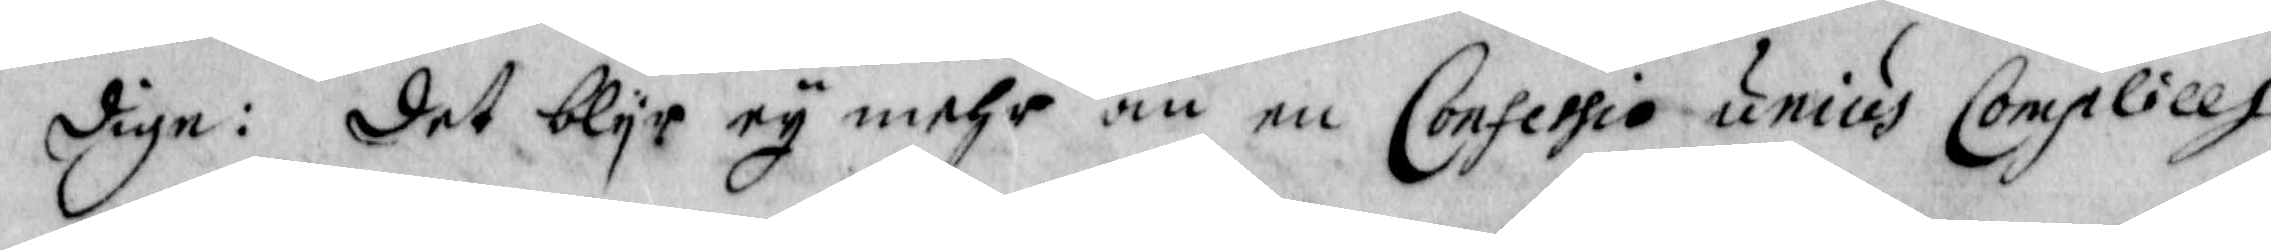dige: det blyr ey mehr än en Confessio unius Complillh
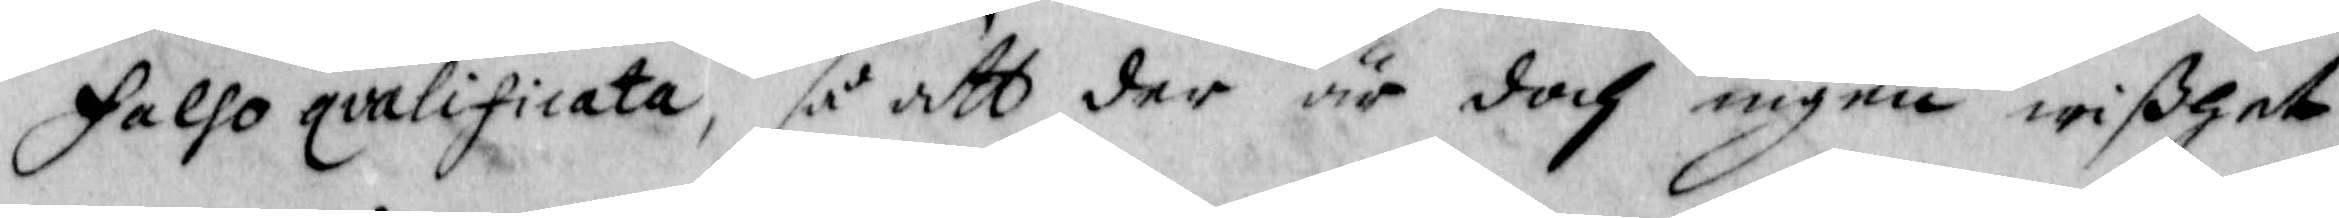falso qvalificata, så att der är doch ingen wißhet
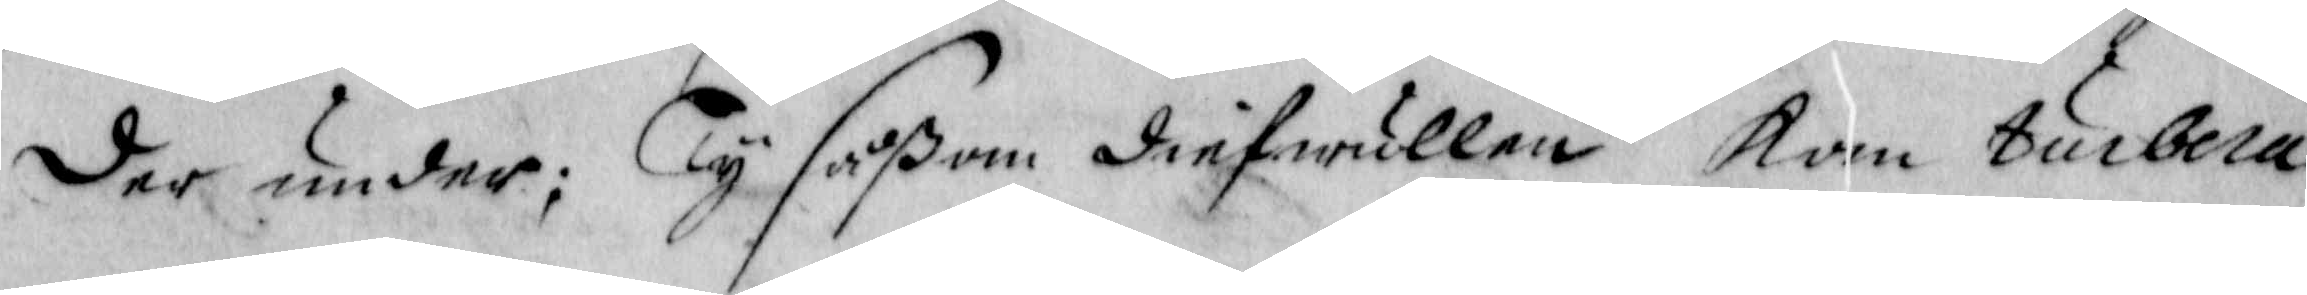det under; Ty såßom diefeullen kan turbera
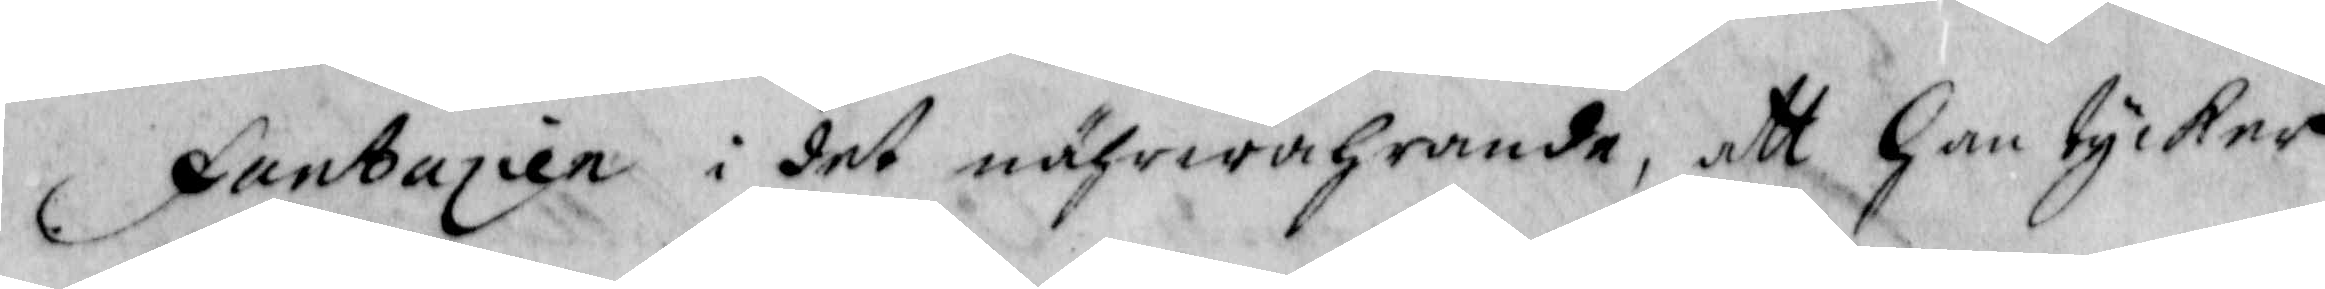fantazien i det nährwahrande, att han tycker
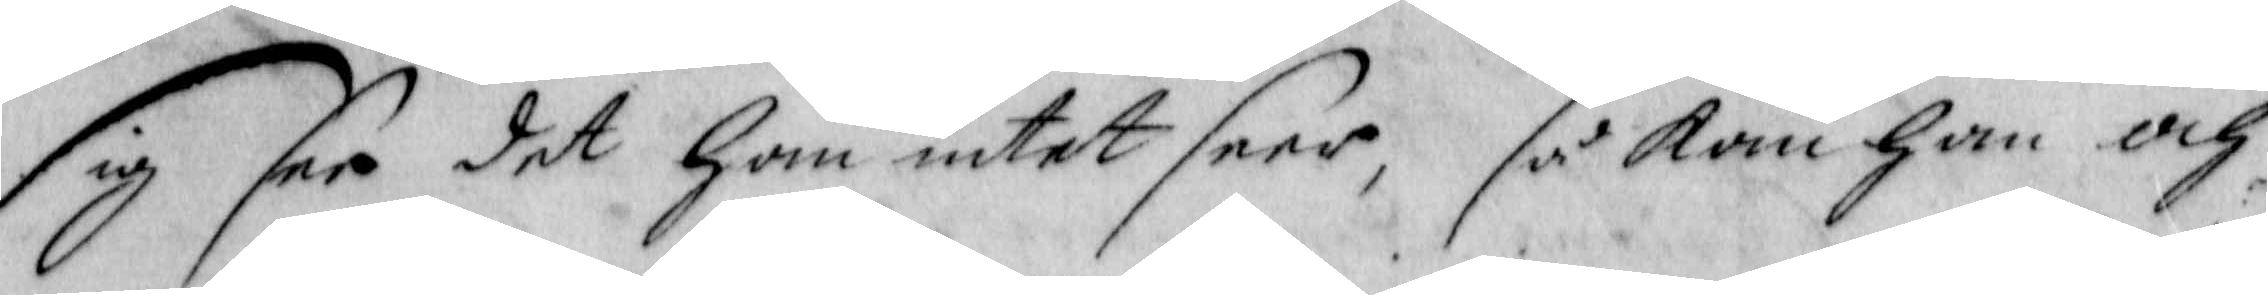sig see det han intet seer, så kan han och
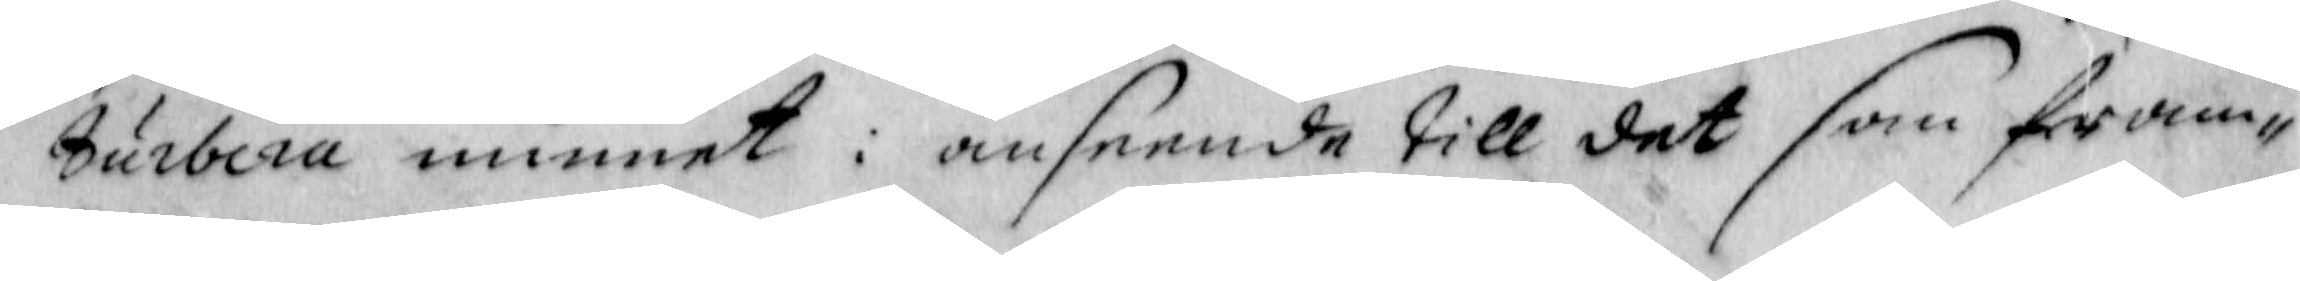tubera minnet i anseende till det som fram¬
